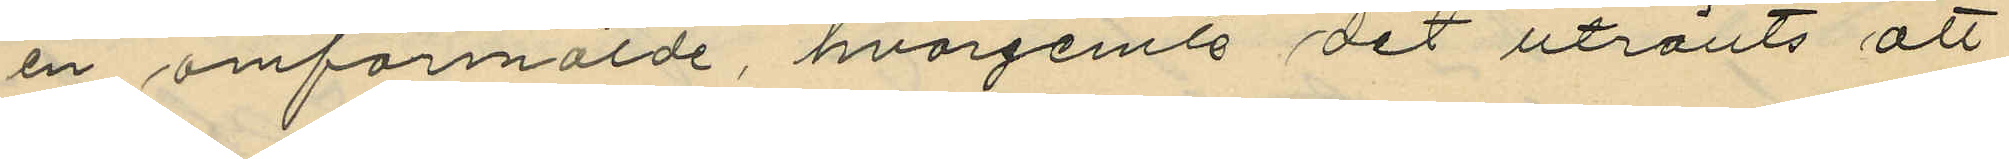en omförmälde, hvarjemte det utrönts att
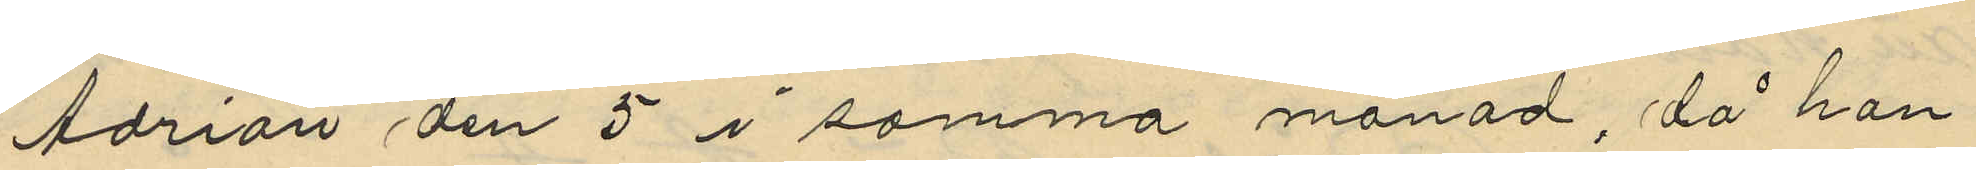Adrian den 5 i samma månad, då han
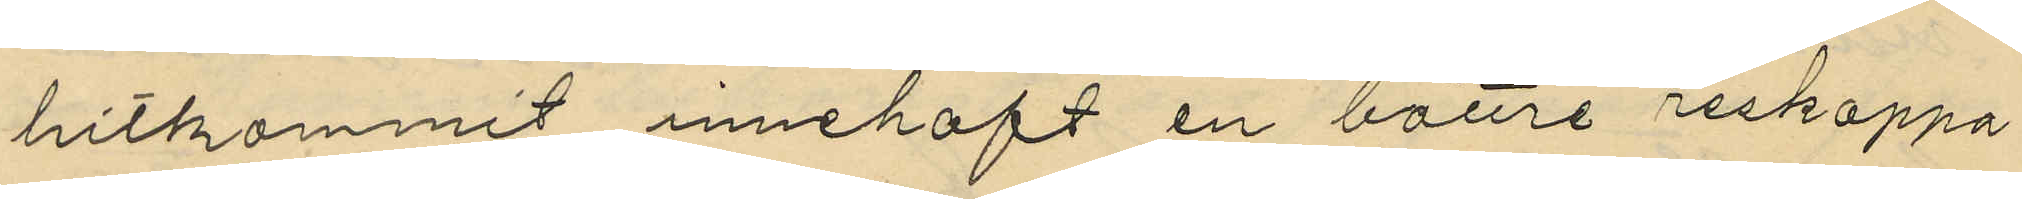hitkommit innehaft en bättre reskappa
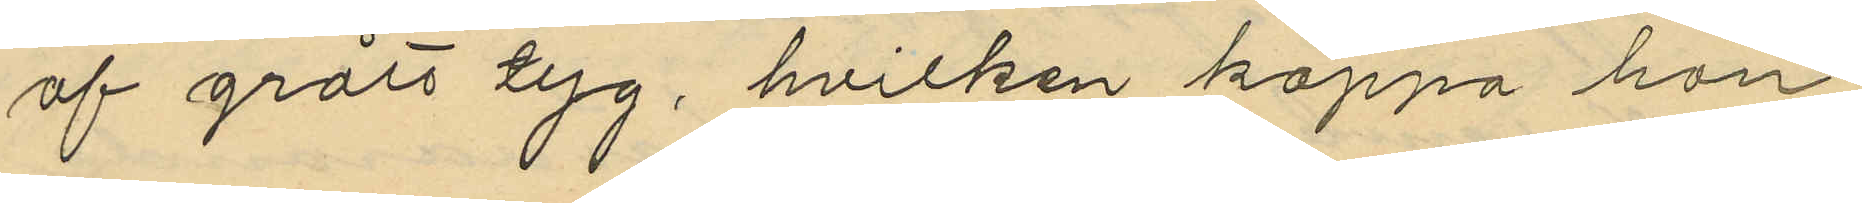af grått tyg, hvilken kappa han
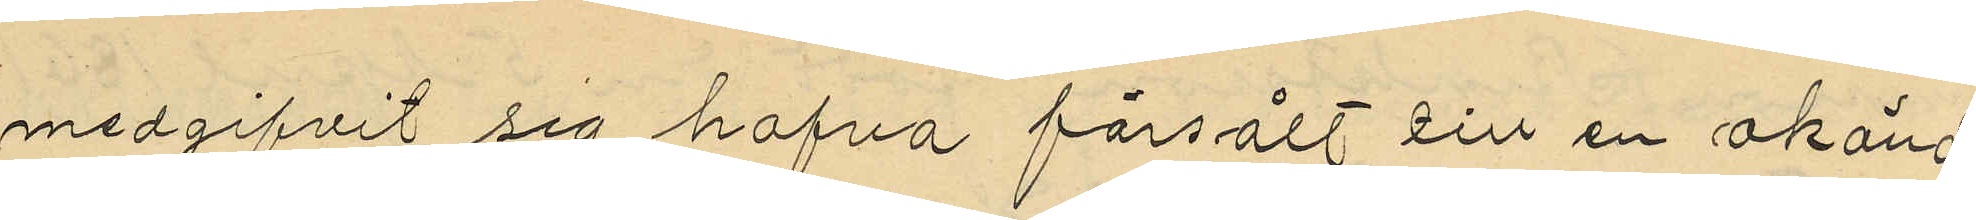medgifvit sig hafva försålt till en okänd
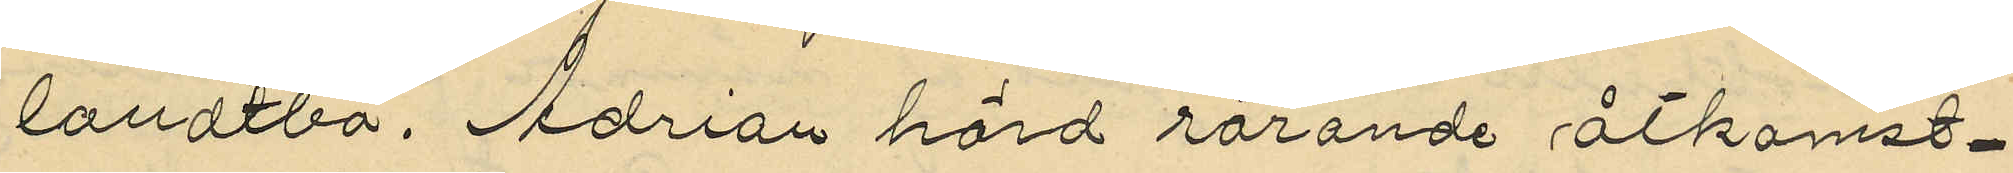landtbo, Adrian hörd rörande åtkomst¬
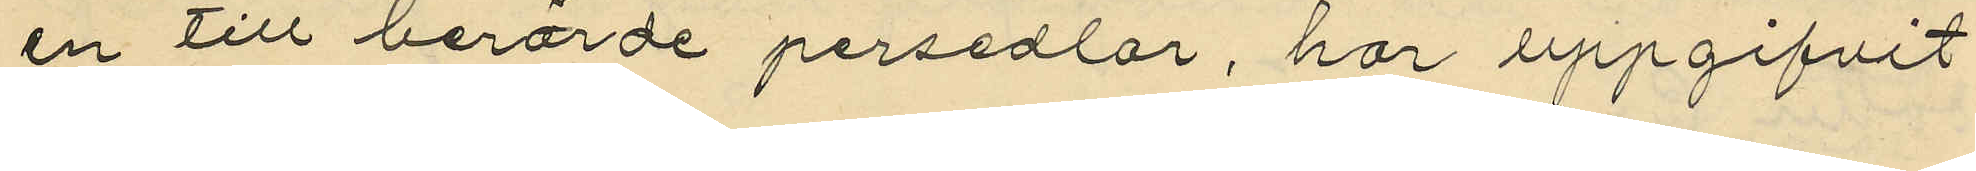en till berörde persedlar, har uppgifvit
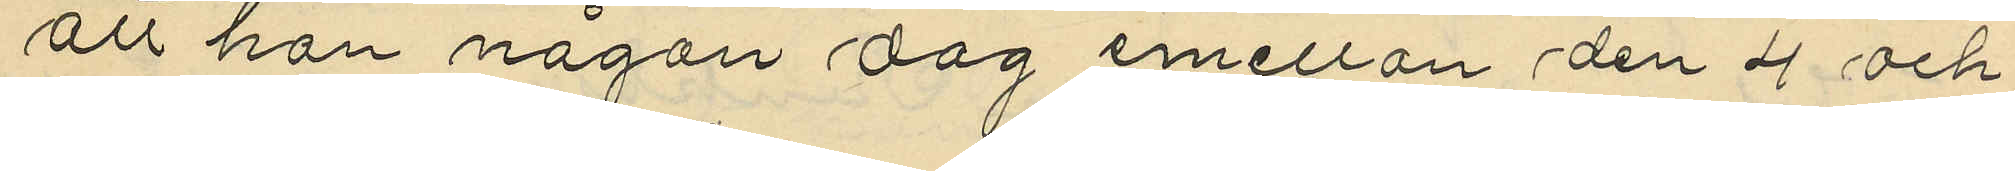att han någon dag emellan den 4 och
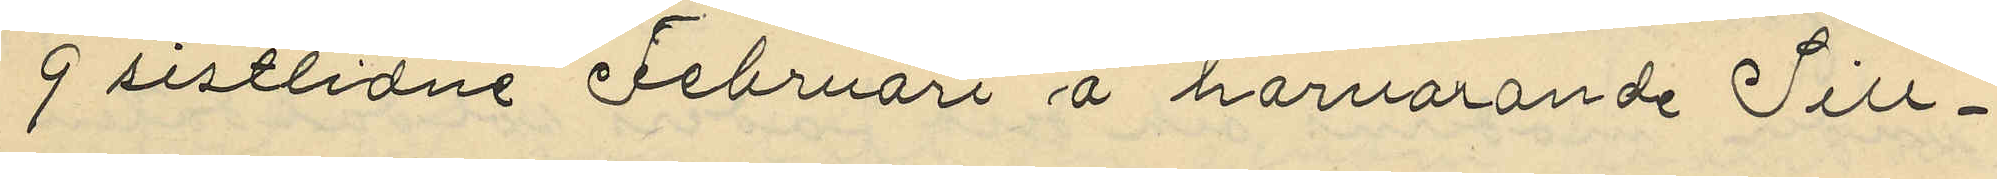9 sistlidne Februari å härvarande Sill¬
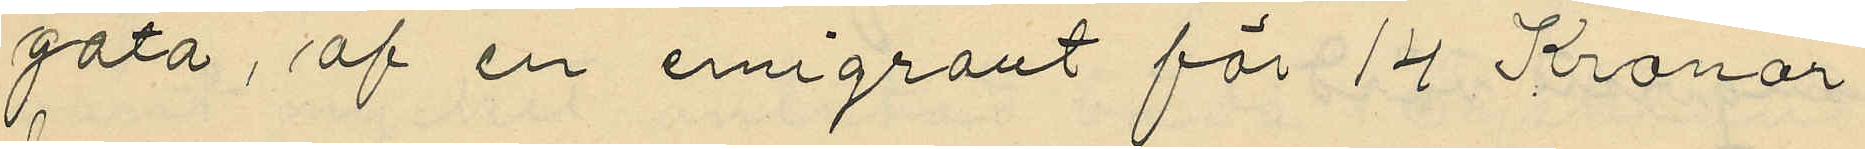gata, af en emigrant för 14 Kronor
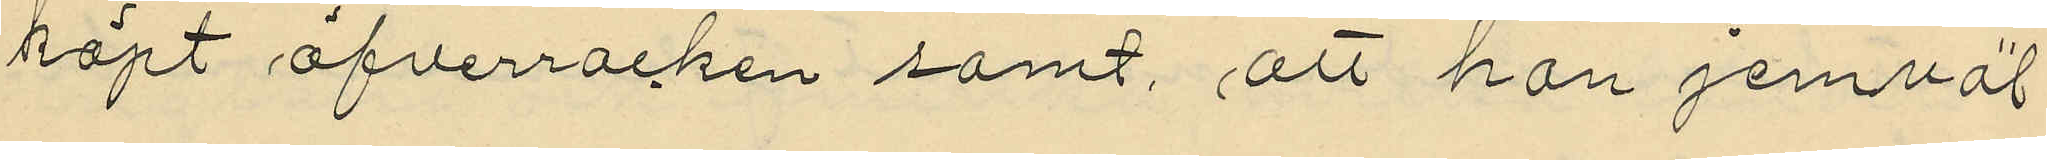köpt öfverrocken samt, att han jemväl
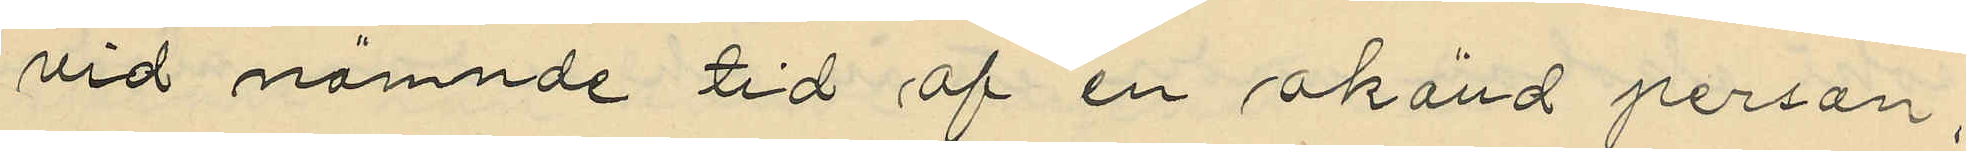vid nämnde tid af en okänd person,
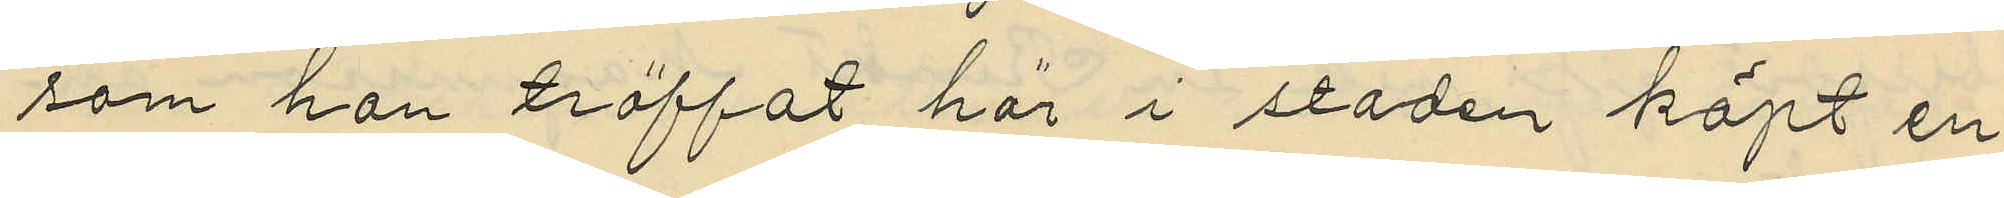som han träffat här i staden köpt en
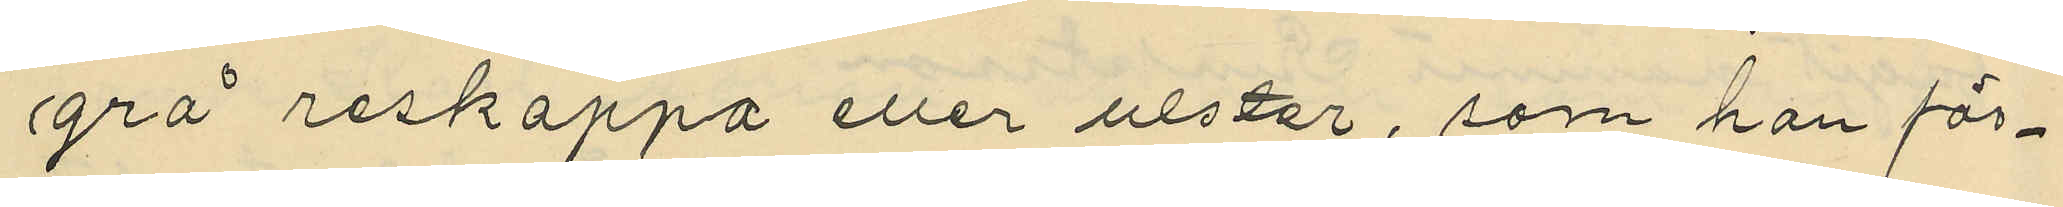grå reskappa eller ulster, som han för¬
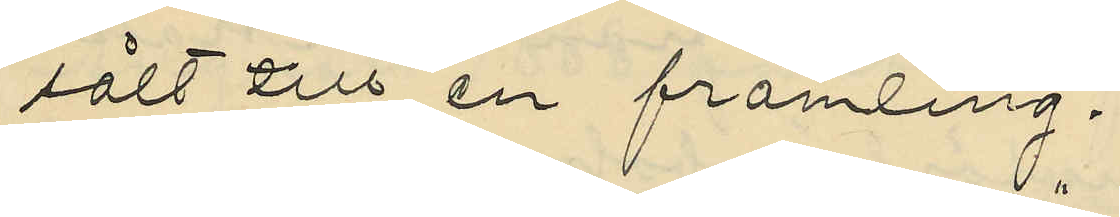sålt till en främling;
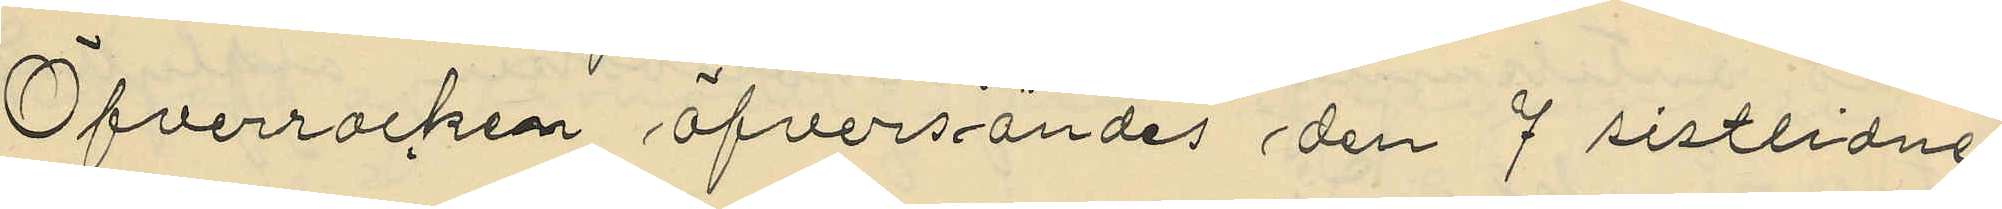Öfverrocken öfversändes den 7 sistlidne
